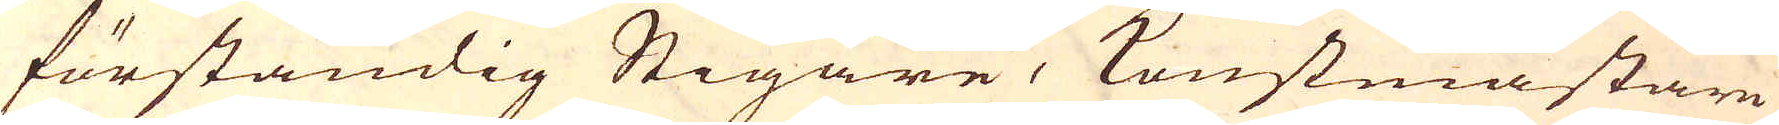förståndig Stigare, Konstmästare
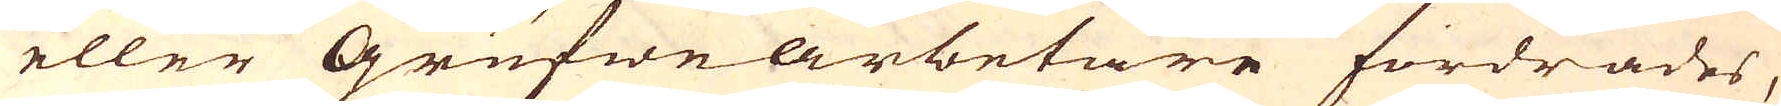eller Grufwearbetare fordrades,
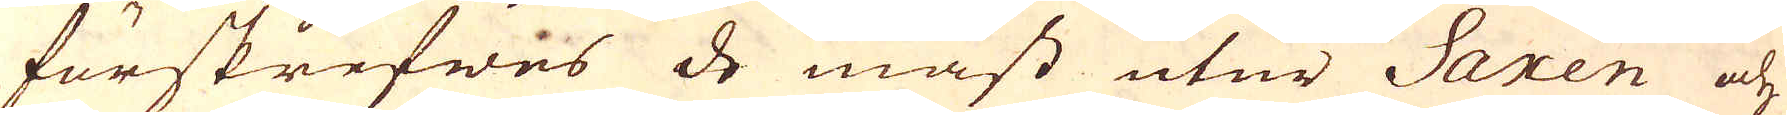förskrefwes de mäst utur Saxen och
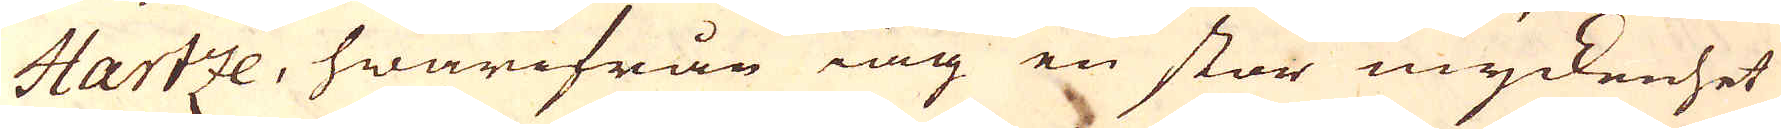Hartze, hwarifrån iag en stor myckenhet
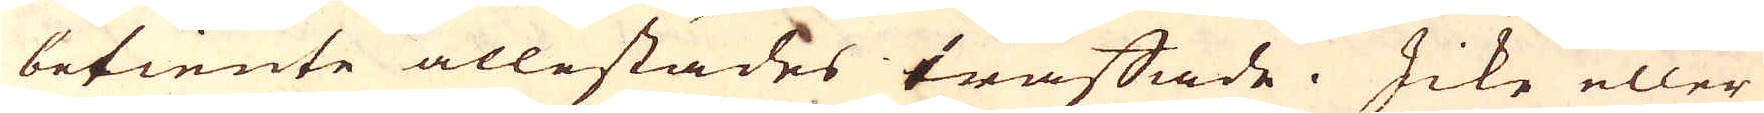betiente allestädes träffade. Icke eller
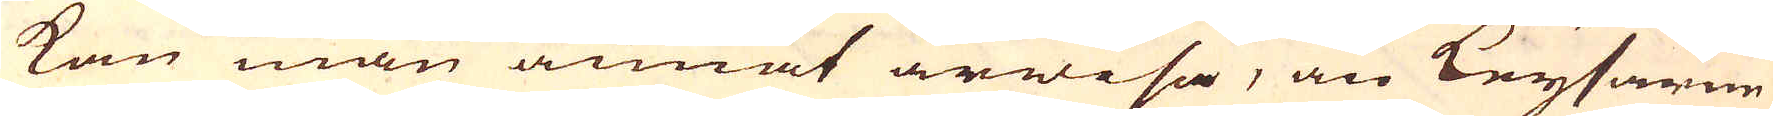kan man annat ärwisa, än Keysarne
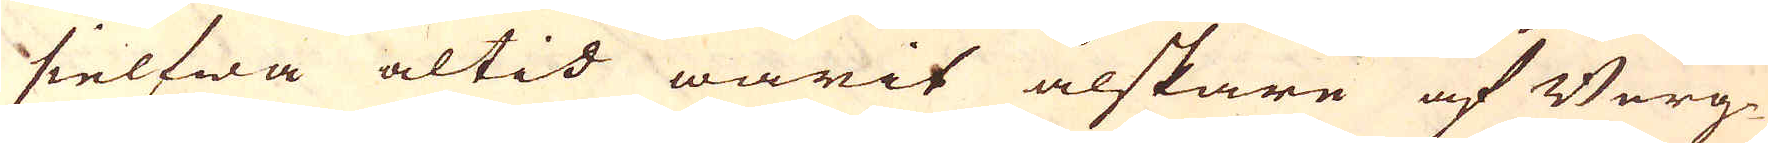sielfwa altid warit älskare af Berg-
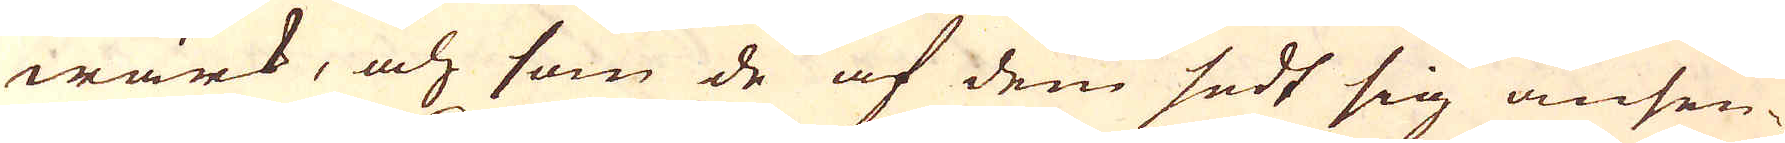wärk, och som de af dem sedt sig ansen-
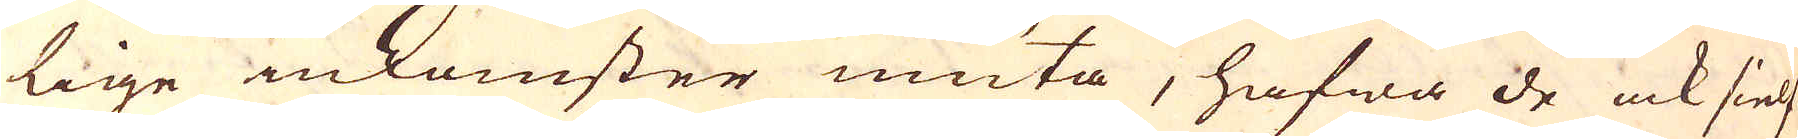lige inkomster niuta, hafwa de ock sielf-
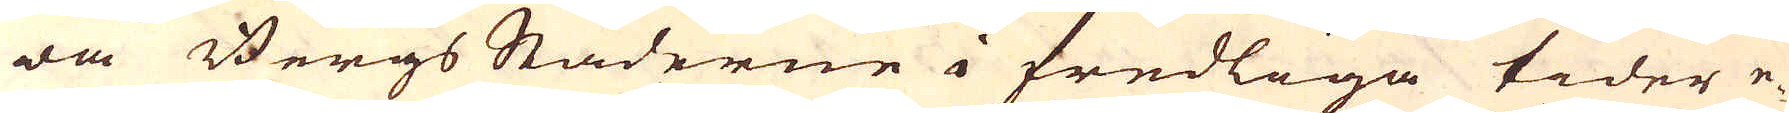wa Bergs Städerne i fredliga tider e-
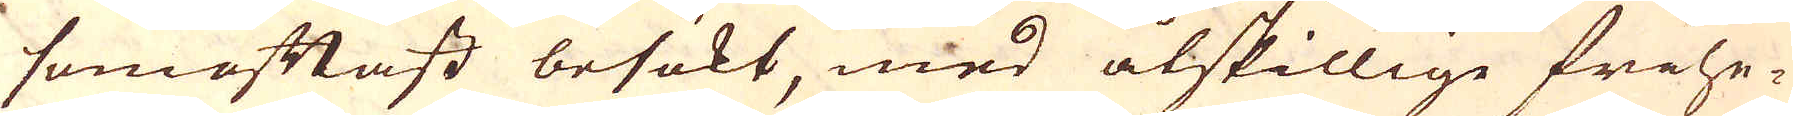somoftast besökt, med åtskillige frihe-
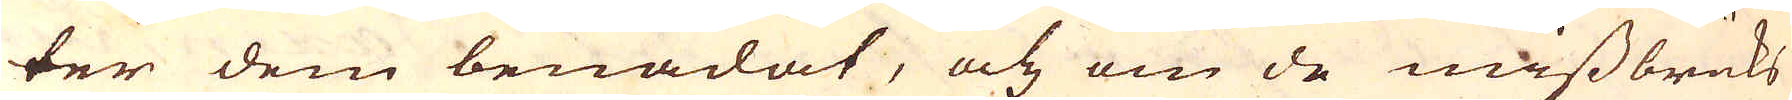ter dem benådat, och om de missbruks
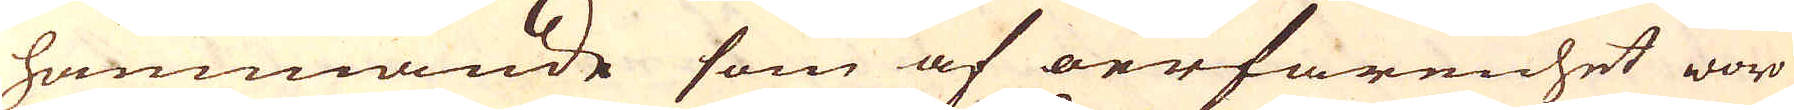hämmande som af oerfarenhet woro
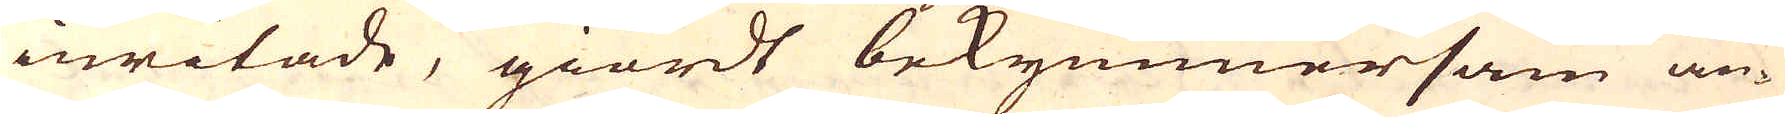inritade, giordt bekymmersam an-
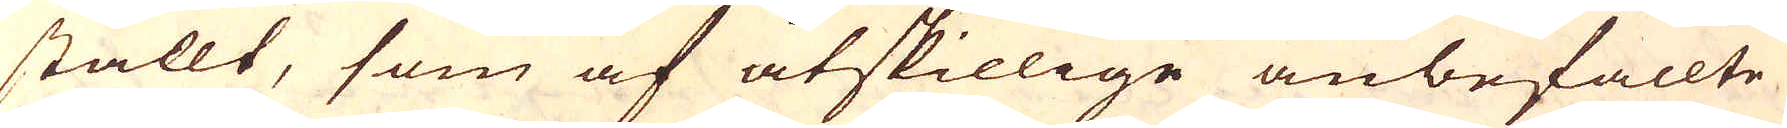stallt, som af åtskillige anbefallte
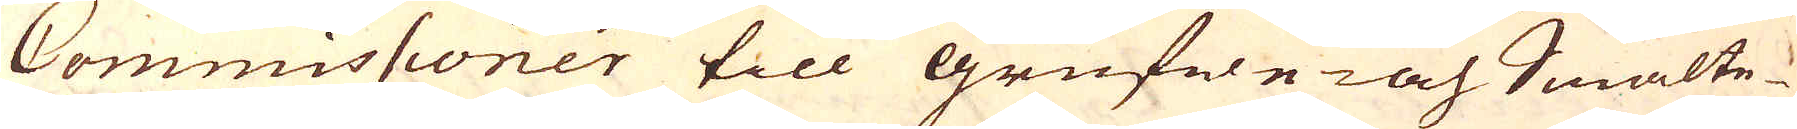Commissioner till Grufwe- och Smälte-
